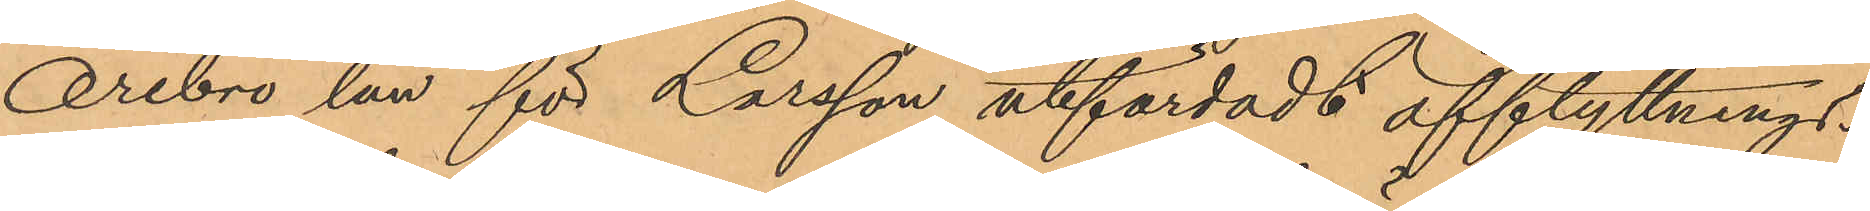Örebro län för Larsson utfärdadt afflyttnings¬
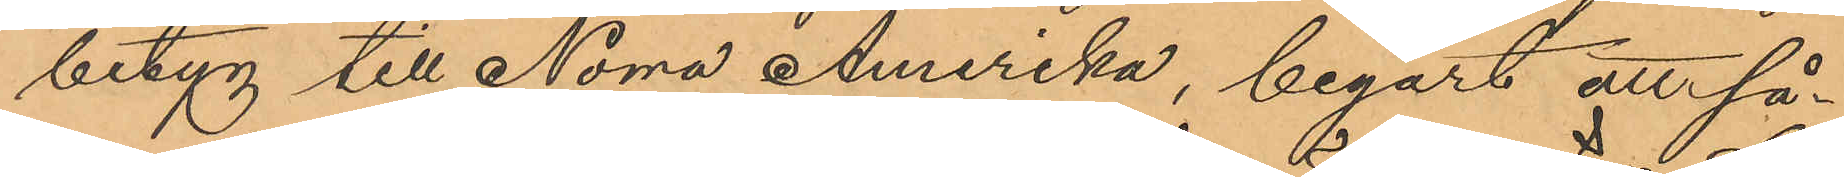betyg till Norra Amerika, begärt att så¬
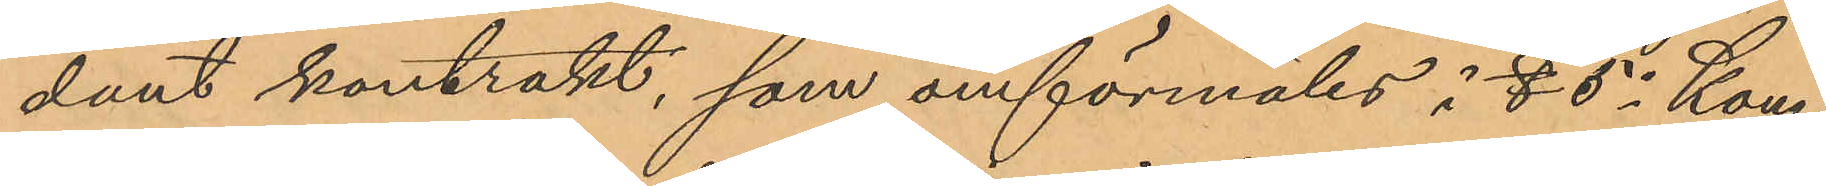dant kontrakt, som omförmäles i § 6 i Kong.
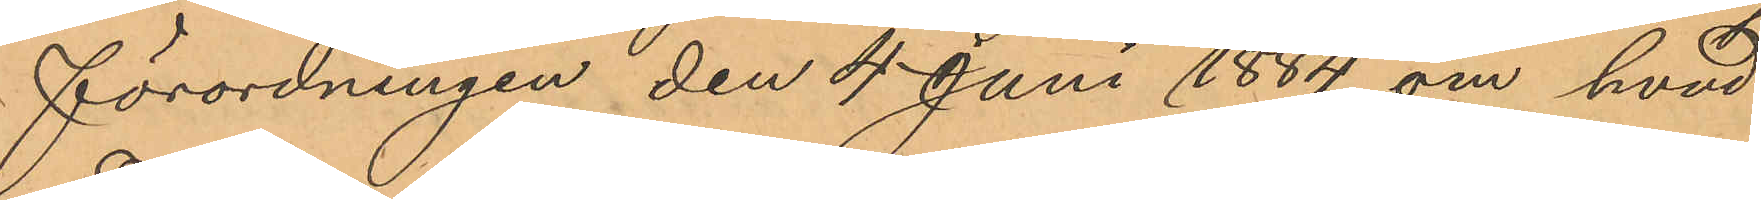förordningen den 4 Juni 1884 om hvad
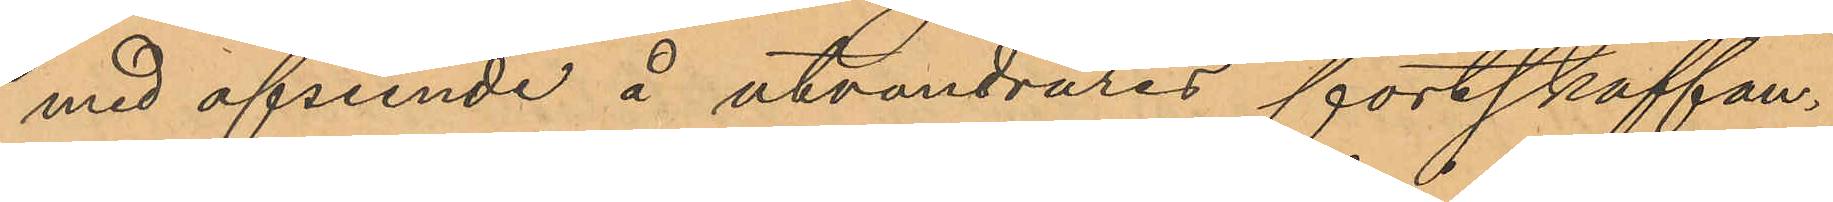med afseende å utvandrares fortskaffan¬
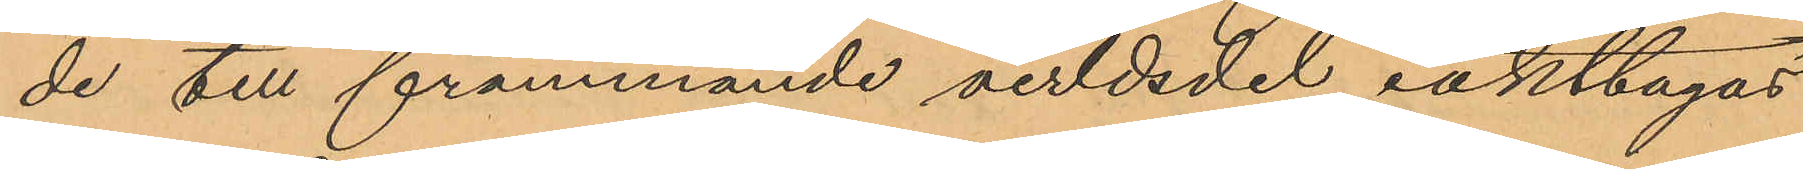de till främmande verldsdel iakttagas
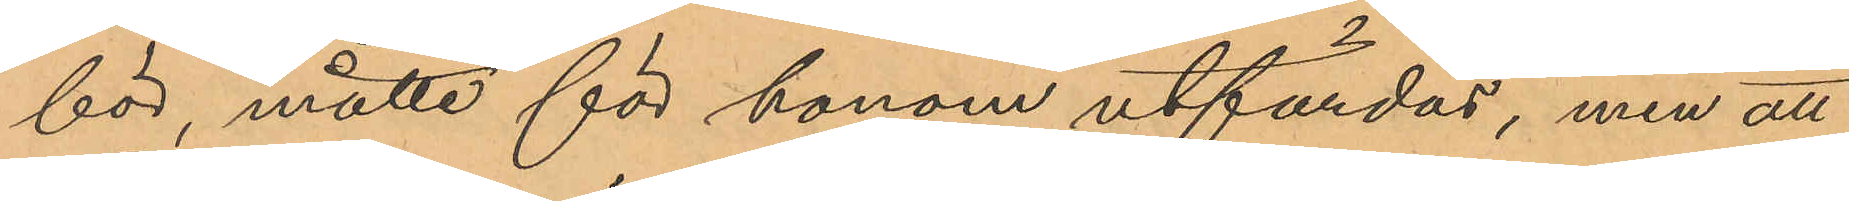bör, måtte för honom utfärdas, men att
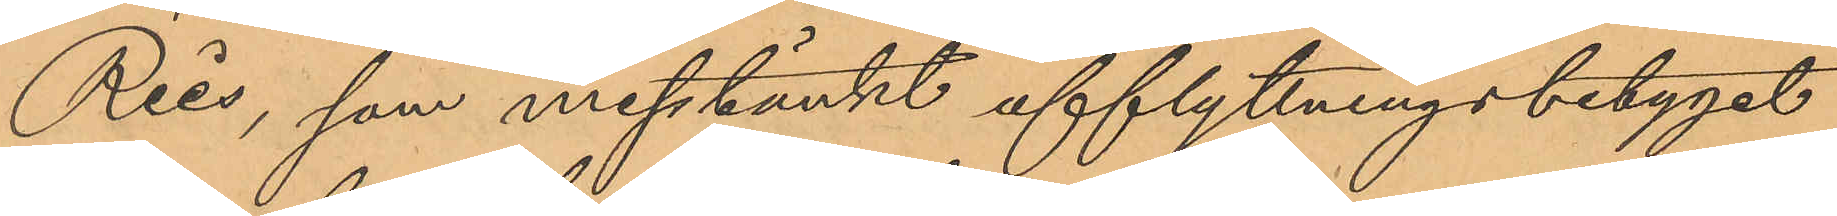Reis, som misstänkt ufflyttningsbetyget
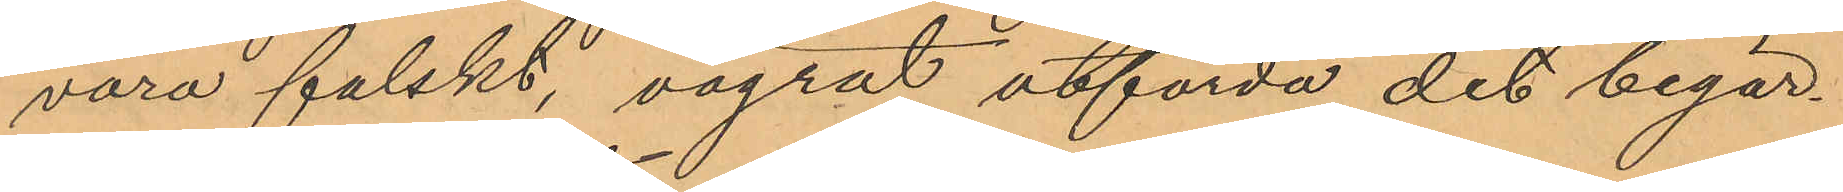vara falskt, vägrat utfärda det begär¬
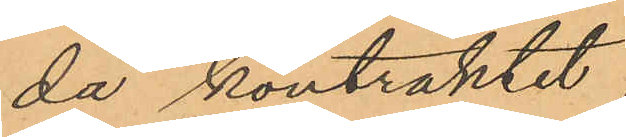da kontraktet.
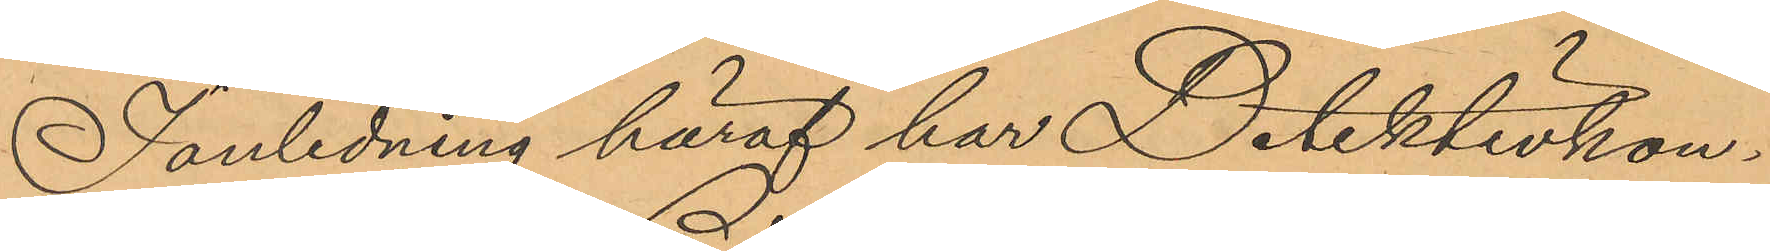I anledning häraf har Detektivkon¬
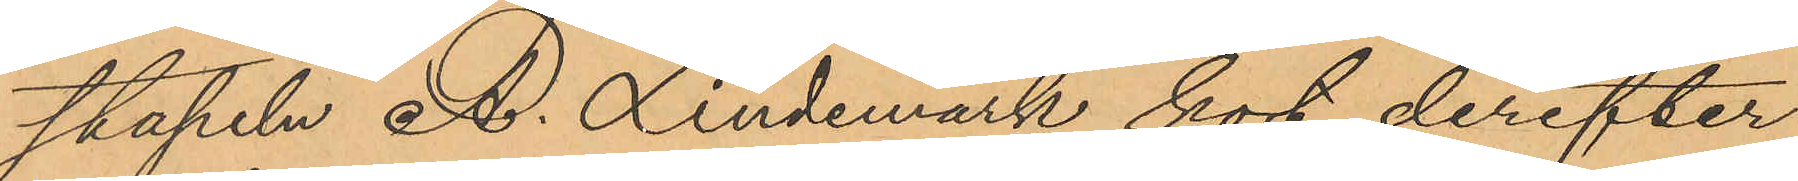stapeln A. Lindemark kort derefter
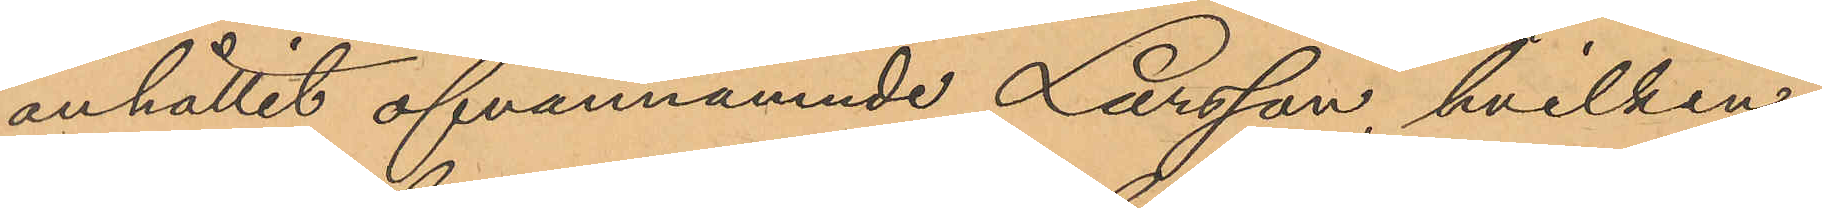anhållit ofvannämnde Larsson, hvilken
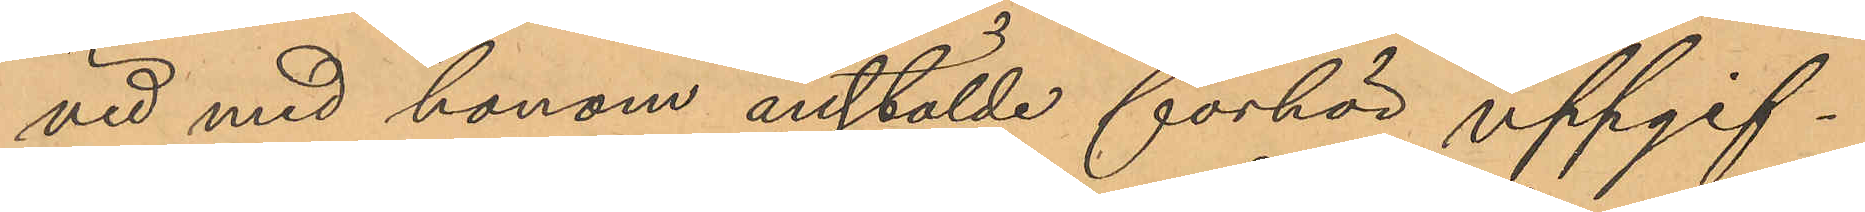vid med honom anstälde förhör uppgif¬
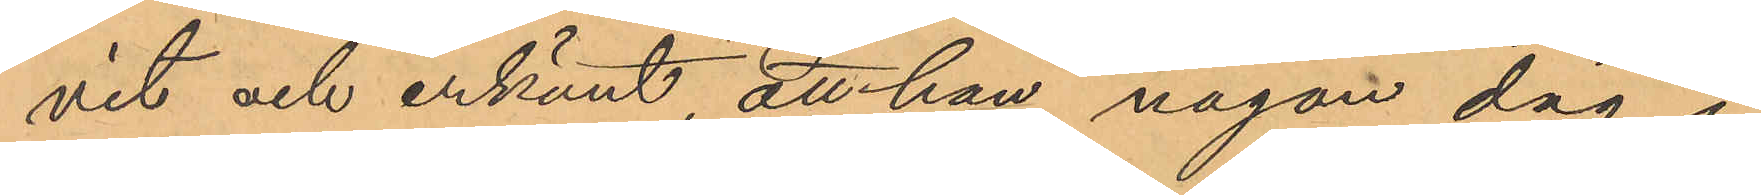vit och erkänt att han någon dag i
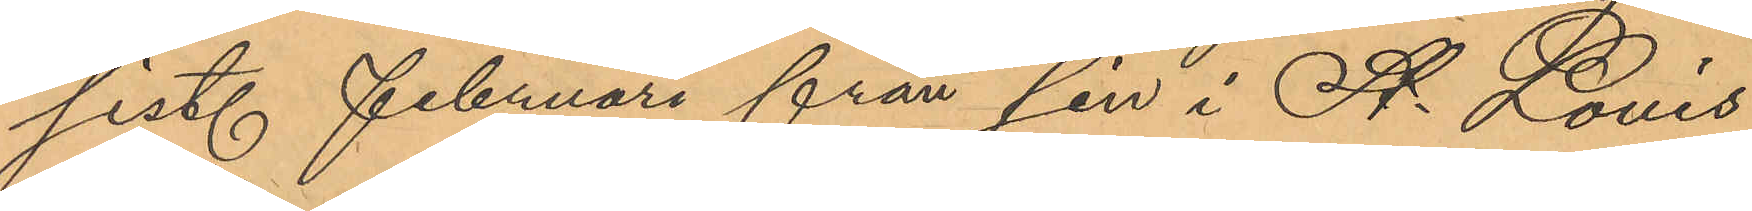sist. Februari från sin i St. Louis
